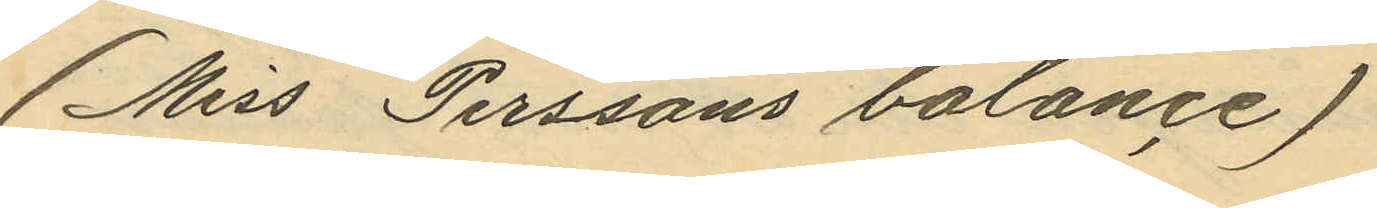(Miss Perssons balance)
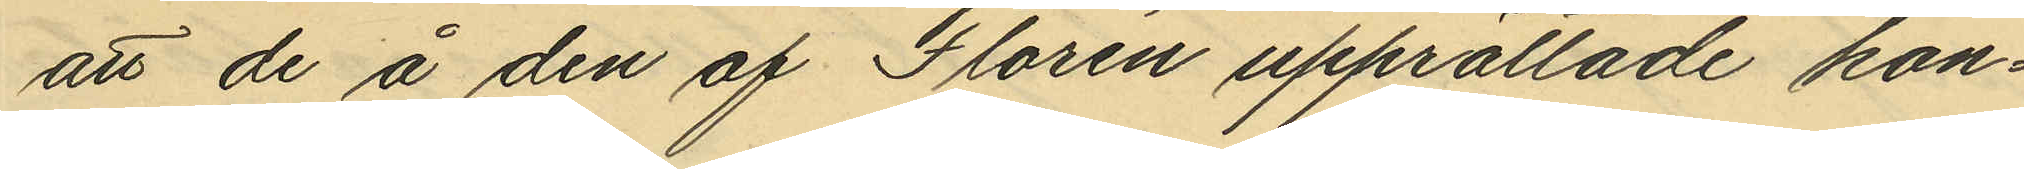att de å den af Florén upprättade kon¬
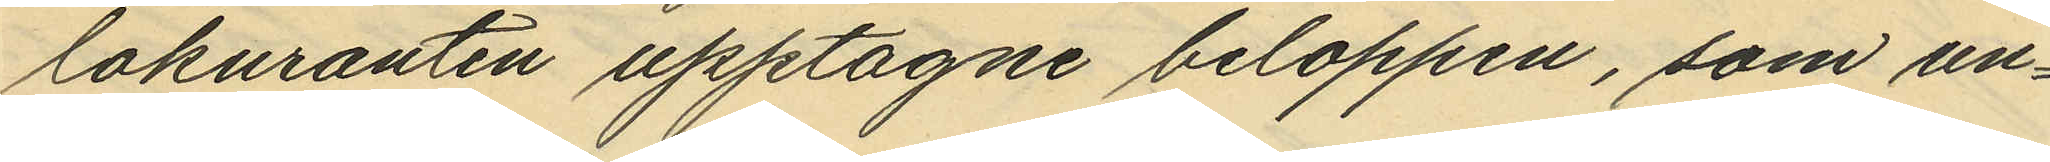tokuranten upptagne beloppen, som un¬
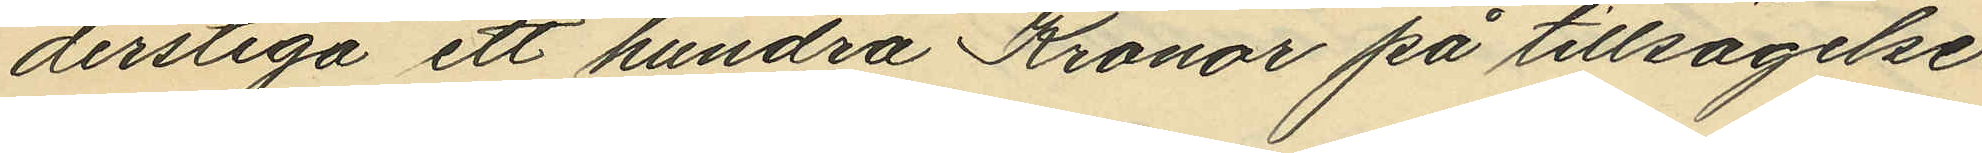derstiga ett hundra Kronor på tillsägelse
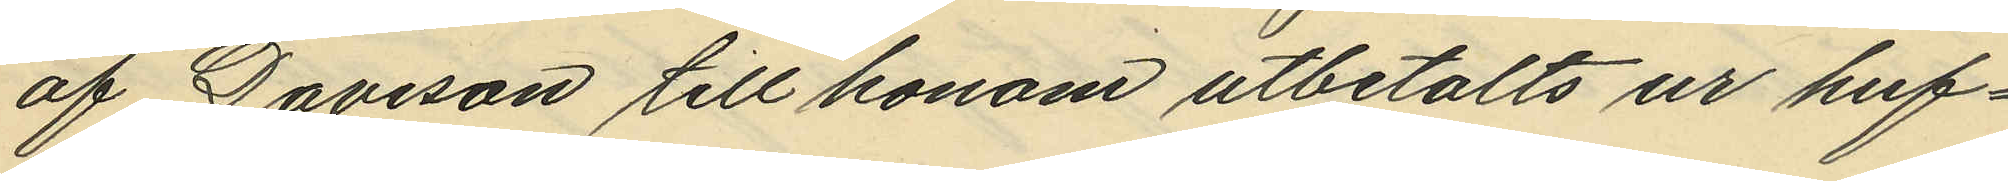af Davison till honom utbetalts ur huf¬
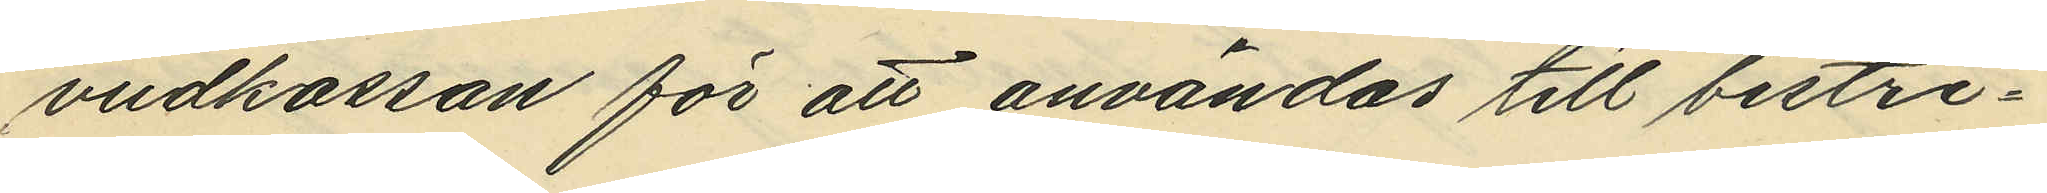udkassan för att användas till bestri¬
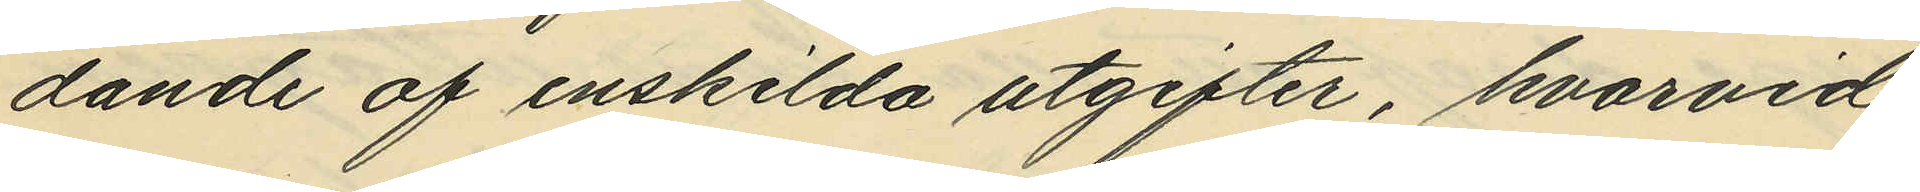dande af enskilda utgifter, hvarvid
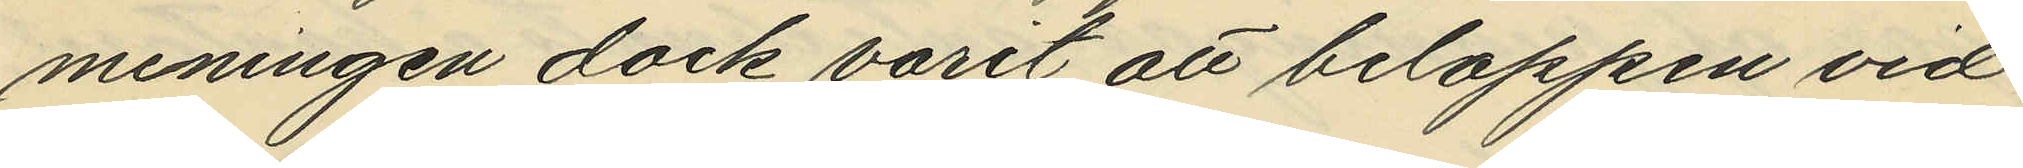meningen dock varit att beloppen vid
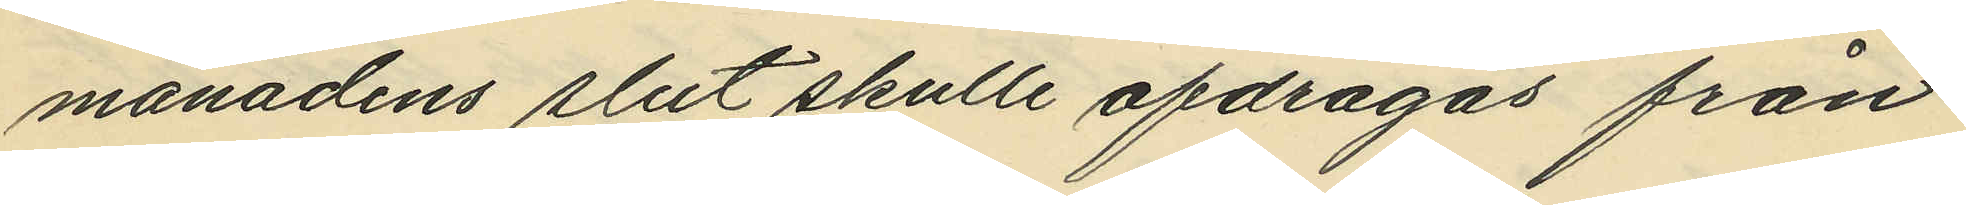månadens slut skulle afdragas från
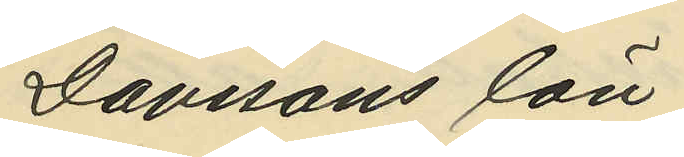Davisons lön;
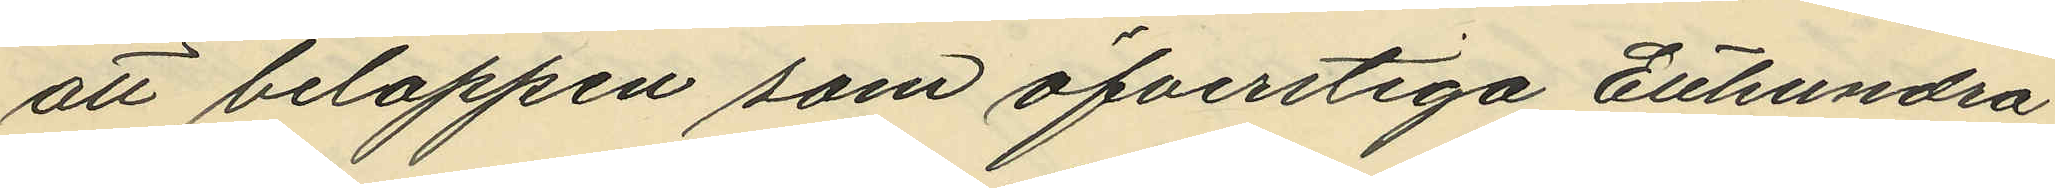att beloppen som öfverstiga Etthundra
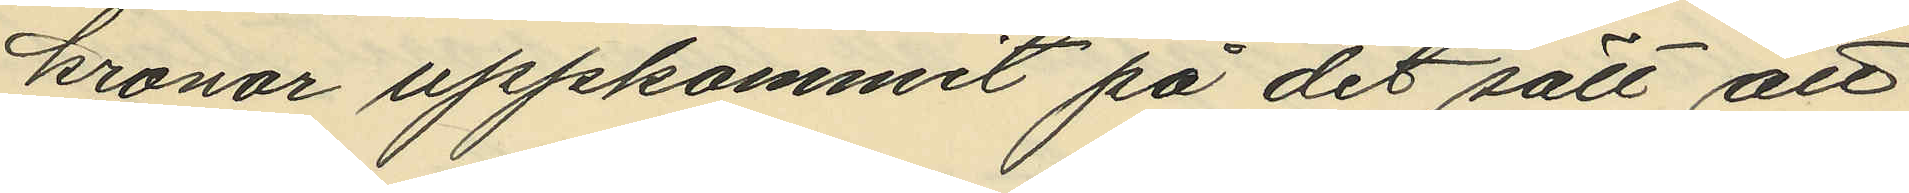kronor uppkommit på det sätt att
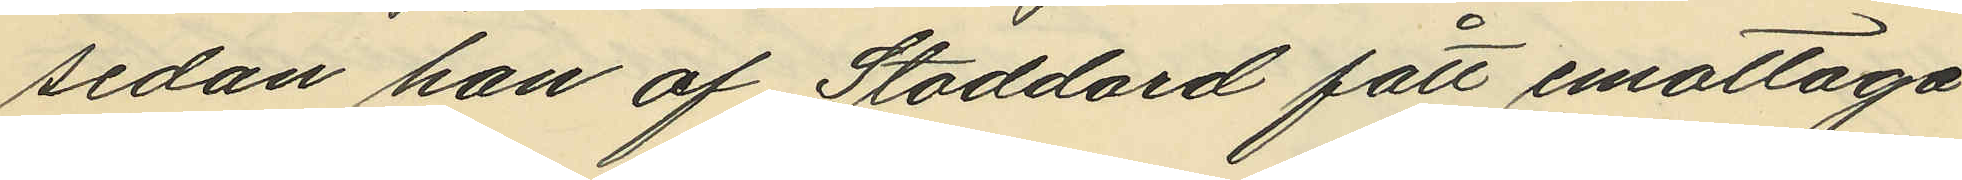sedan han af Stoddard fått emottaga
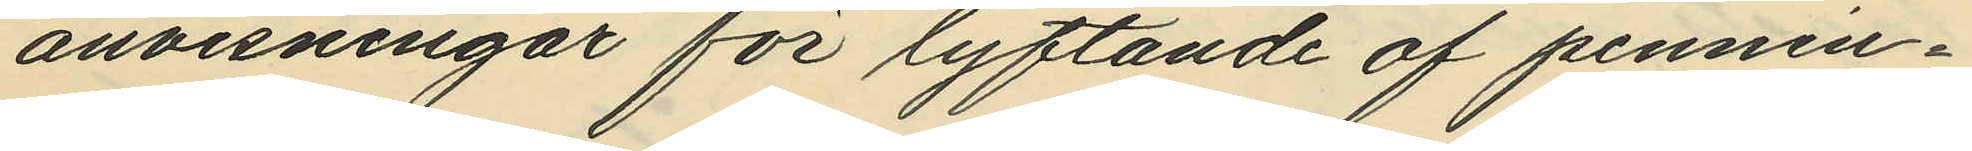anvisningar för lyftande af pennin¬
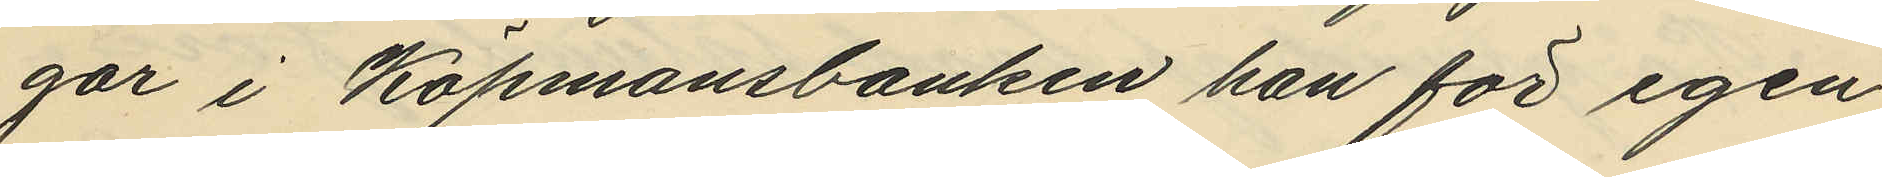gar i Köpmansbanken han för egen
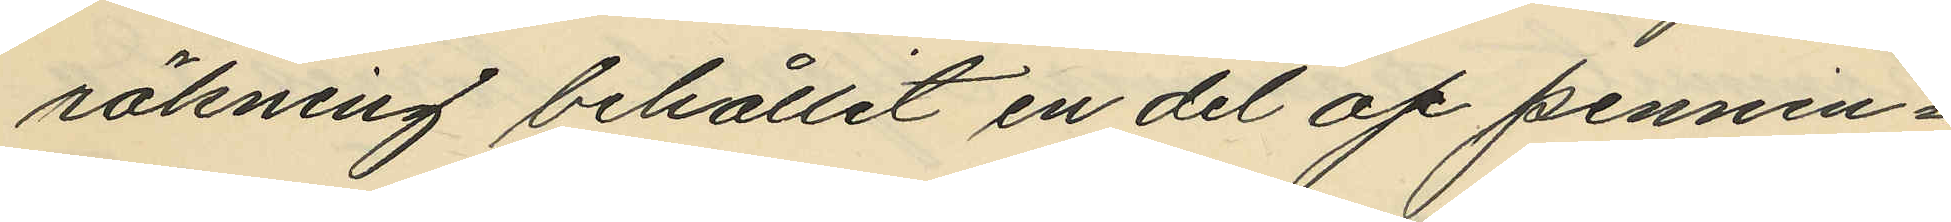räkning behållit en del af pennin¬
